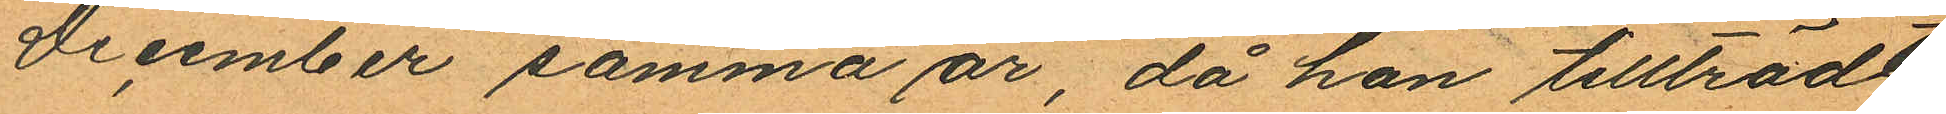December samma år, då hon tillträdt
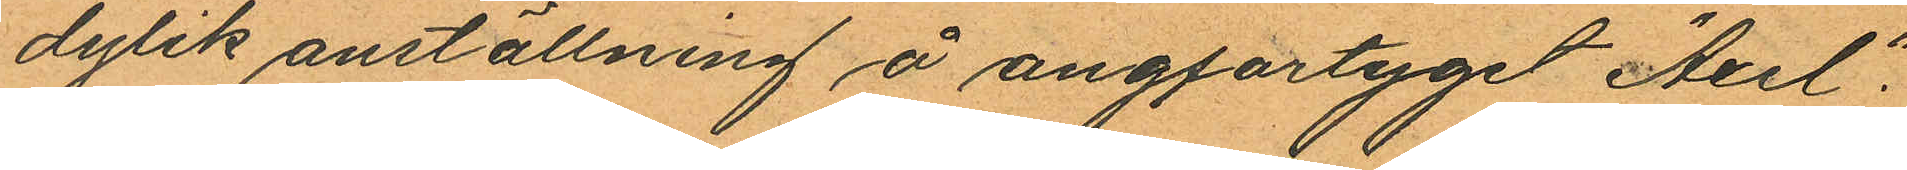dylik anställning å ångfartyget "Axel".
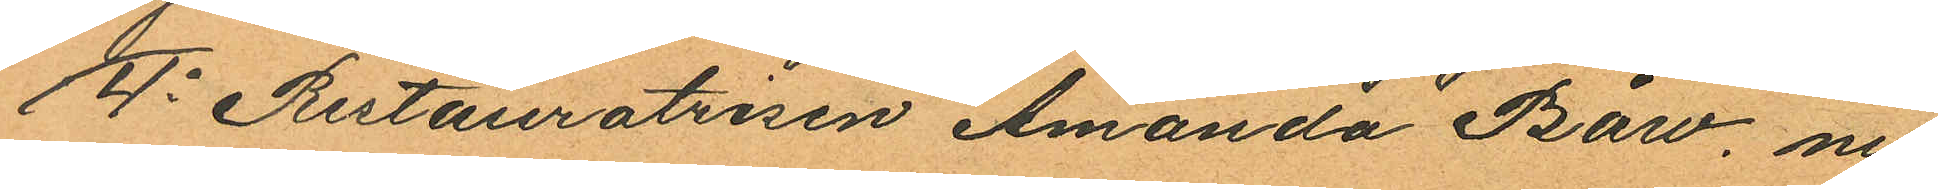4o Restauratrisen Amanda Båw, nu
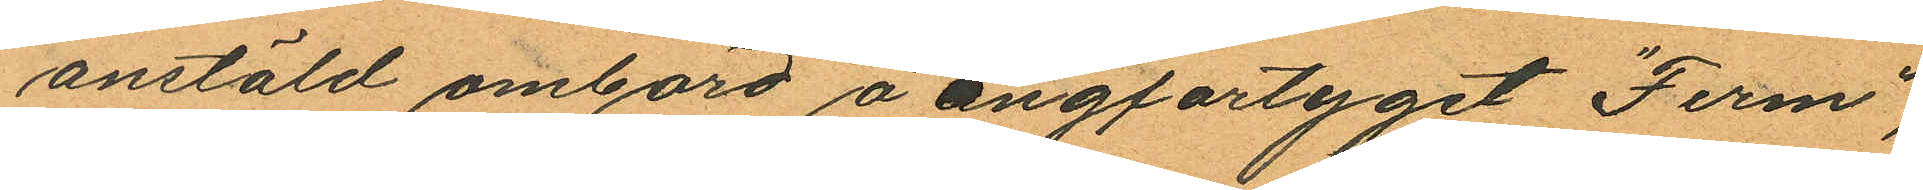anstäld ombord å ångfartyget "Ferm",
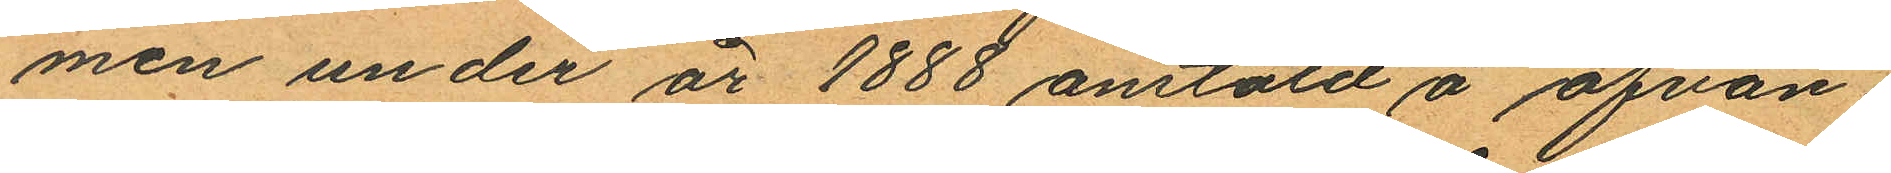men under år 1888 anstäld å ofvan¬
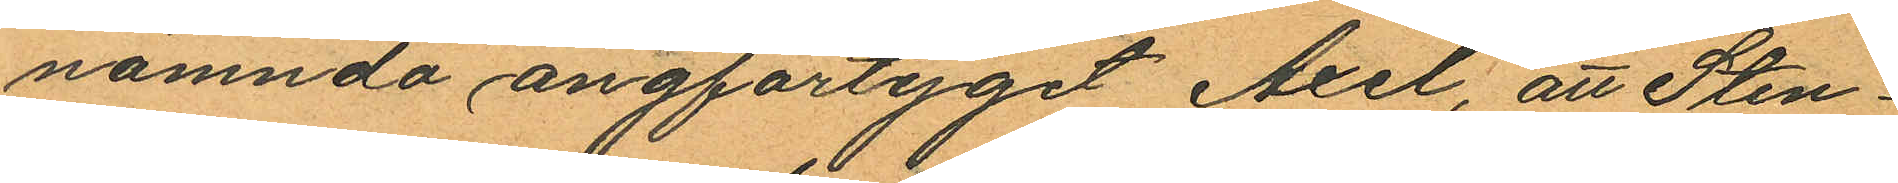nämnda ångfartyget Axel, att Sten¬
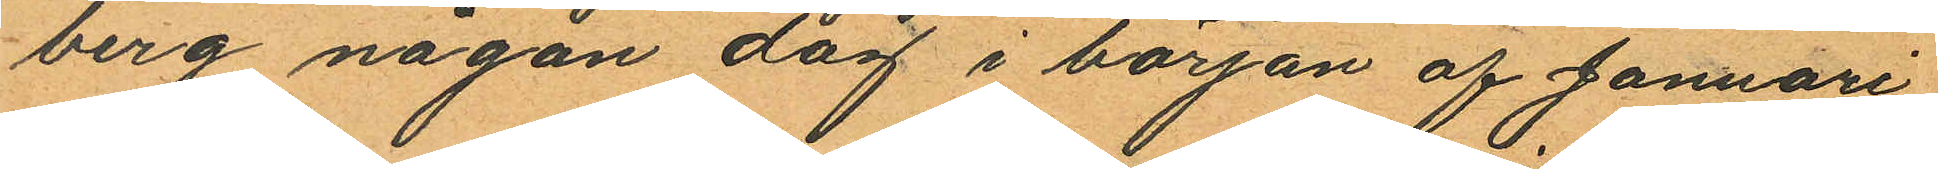berg någon dag i början af Januari
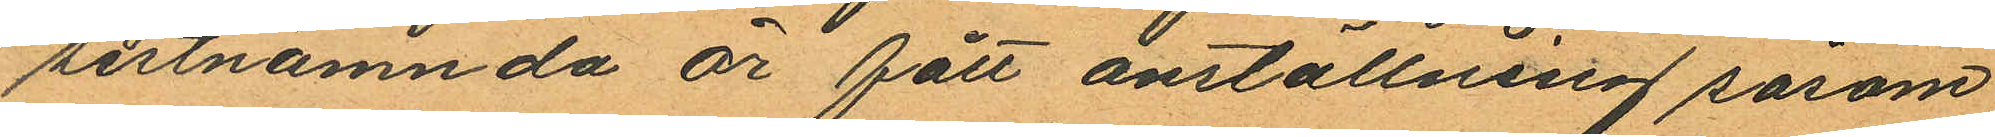sistnämnda år fått anställning såsom
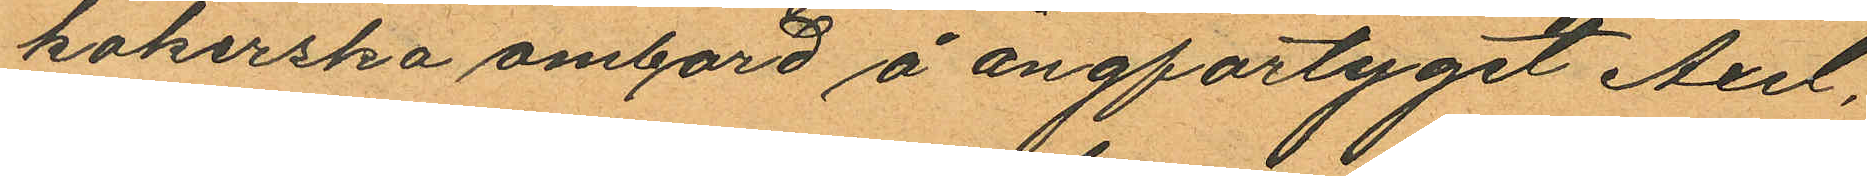kokerska ombord å ångfartyget Axel,
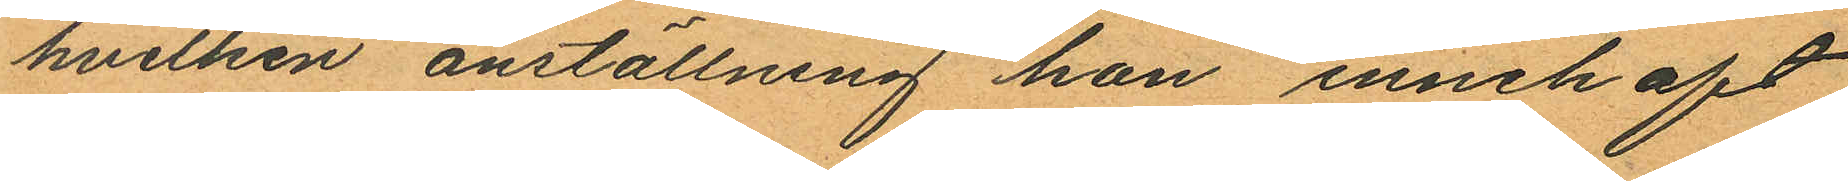hvilken anställning hon innehaft
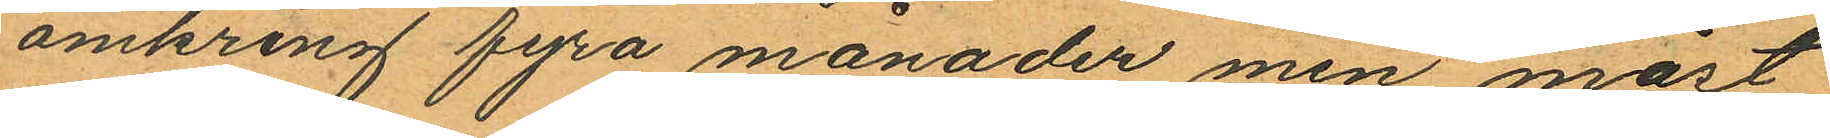omkring fyra månader men måst
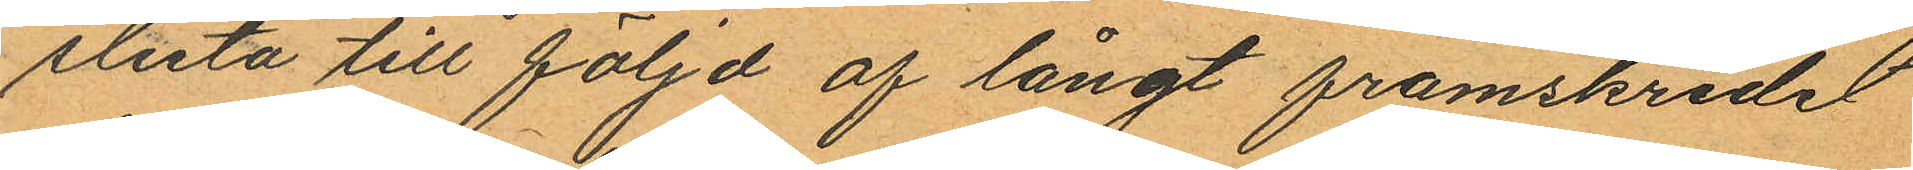sluta till följd af långt framskridet
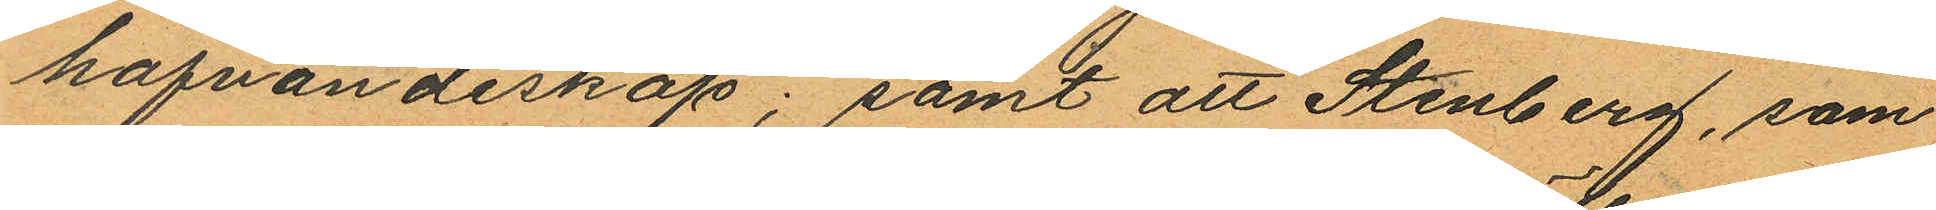hafvandeskap; samt att Stenberg, som
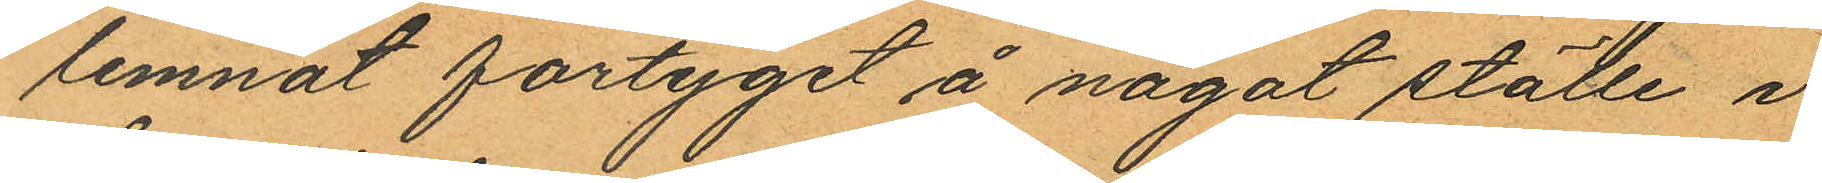lemnat fartyget å något ställe i
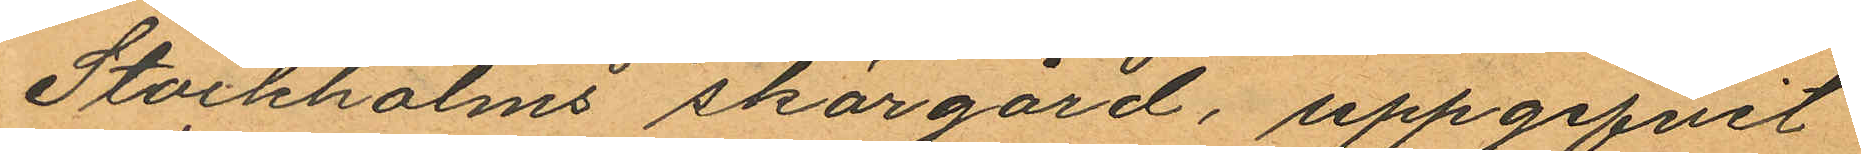Stockholms skärgård, uppgifvit
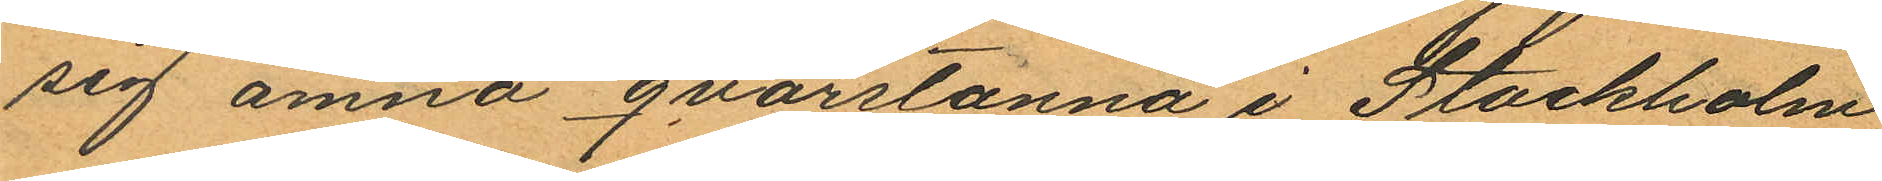sig ämna qvarstanna i Stockholm
